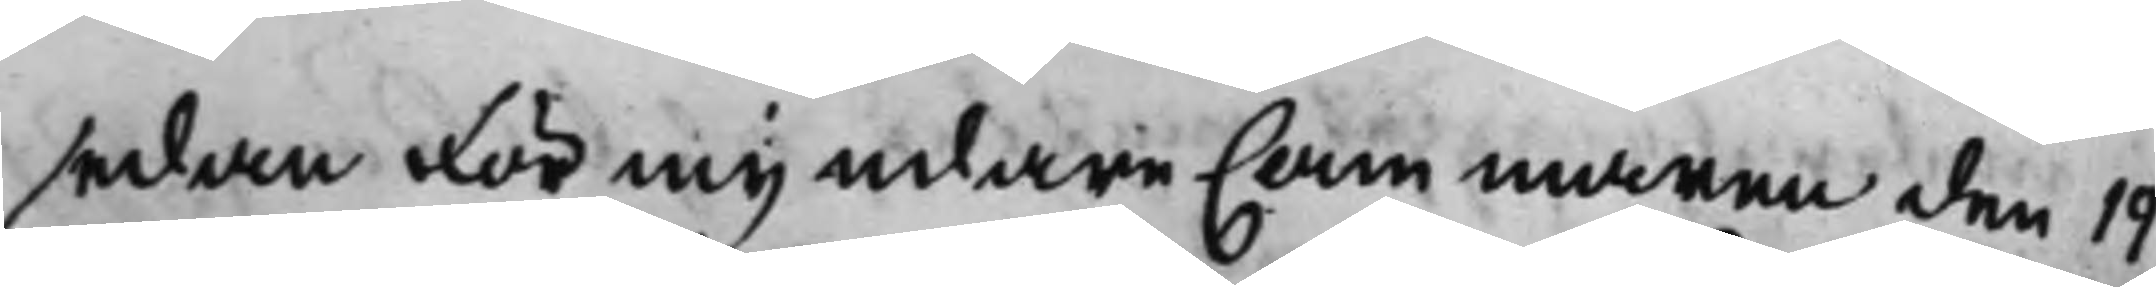sedan förmyndare Cammaren den 19
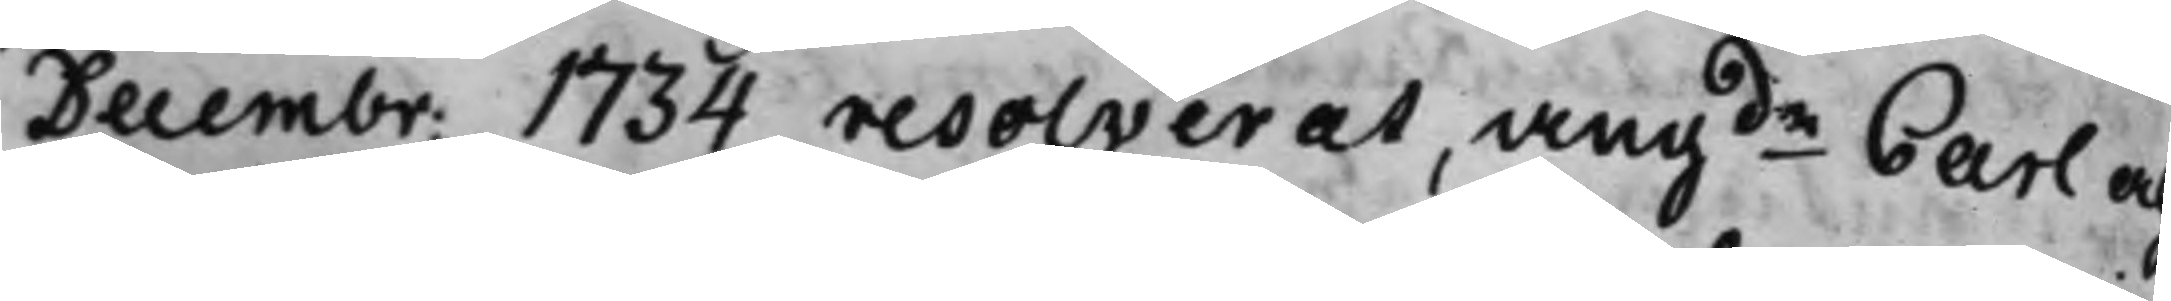Decembr. 1734 resolverat, angde Carl och
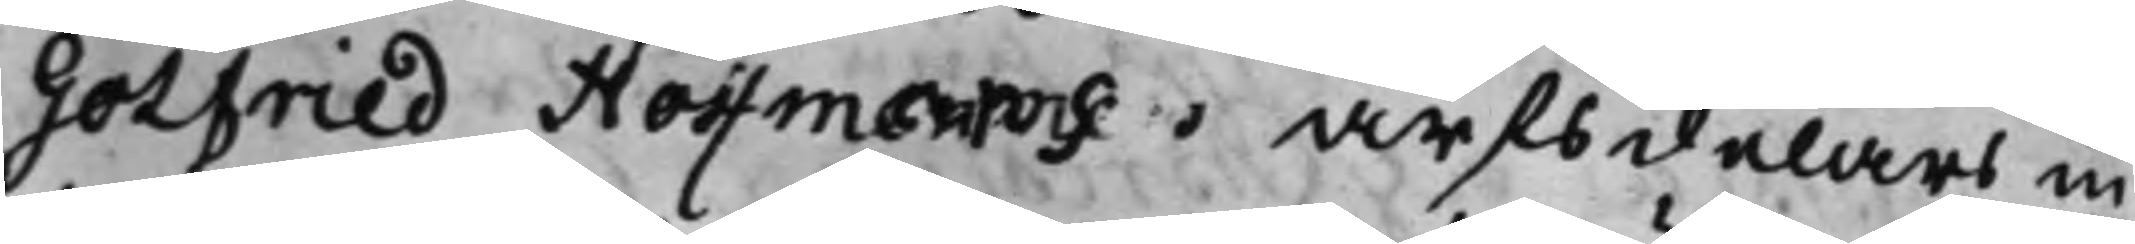Gotfried Hoffmans arfsdelars in¬
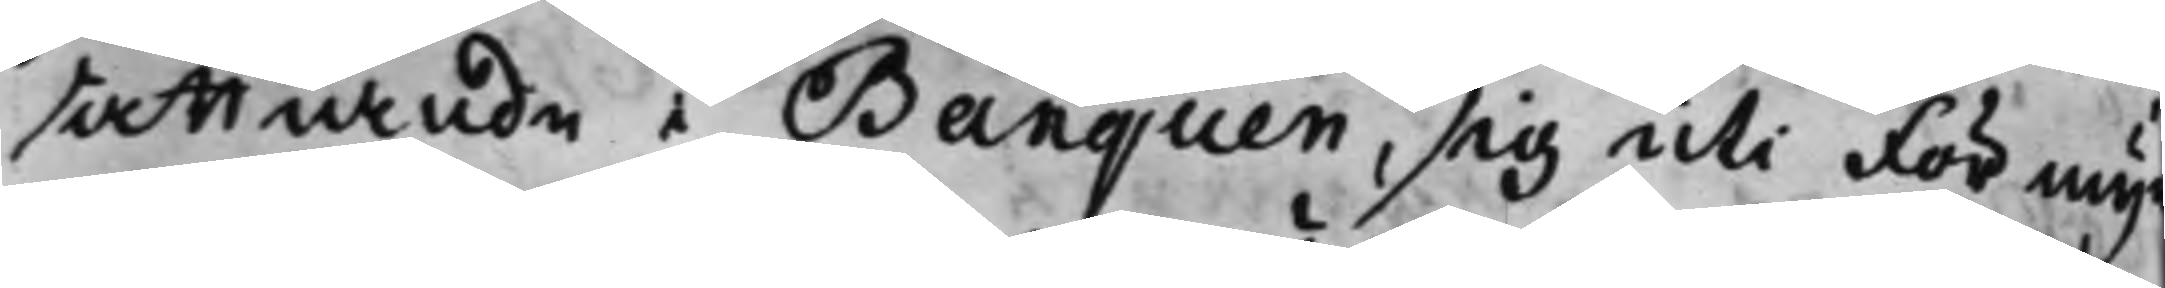sattiandee Banquen, sig uti Förmyn¬
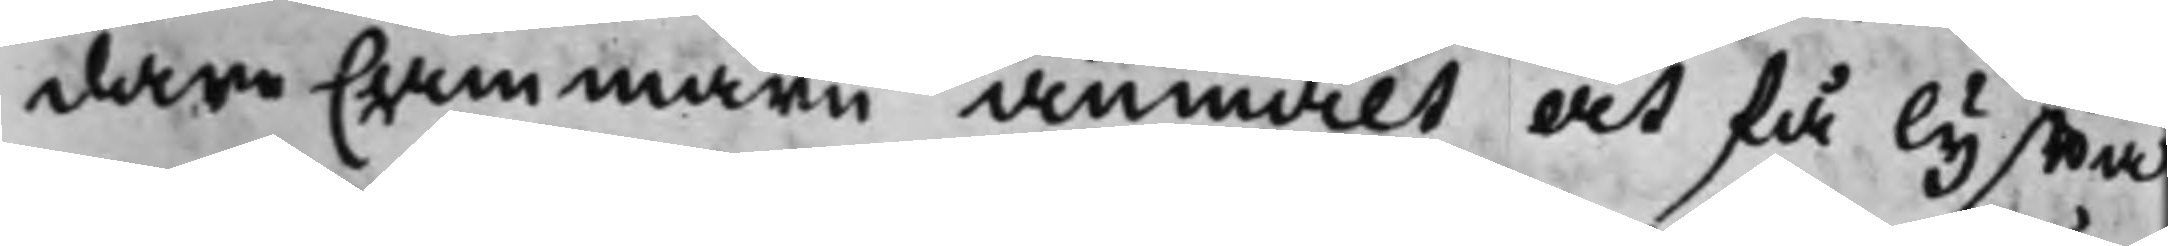dare Cammarn anmält at få lyffta
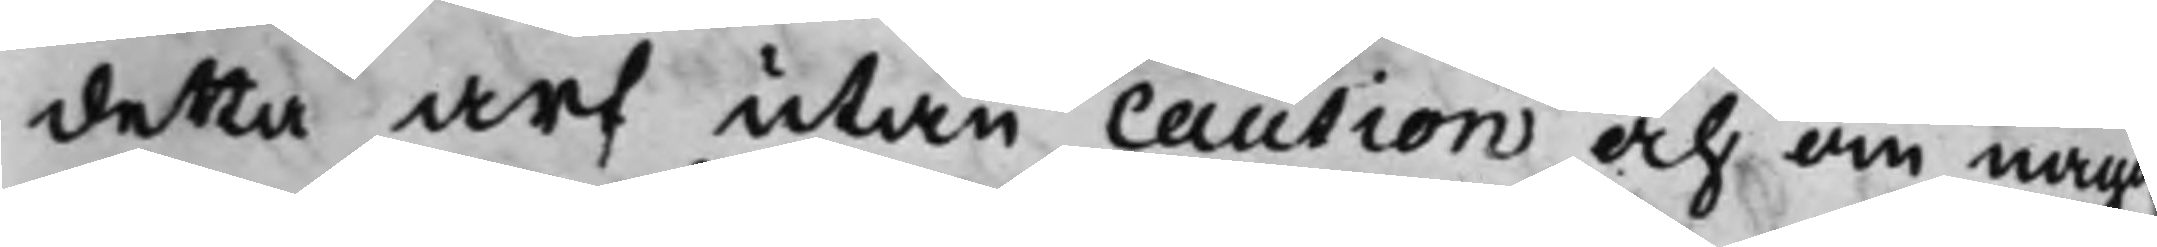detta arf utan caution och om något
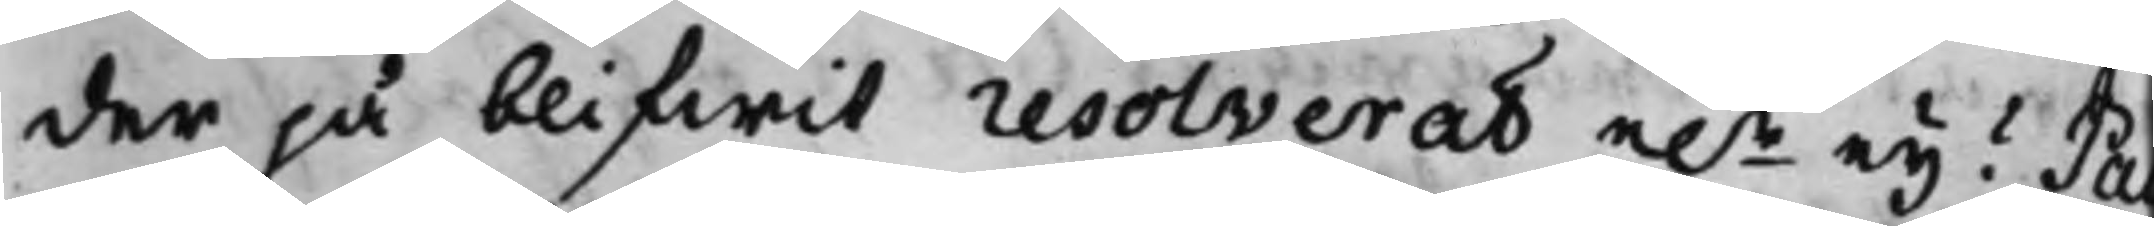der på blifwit resolverat e.r ey? Pa
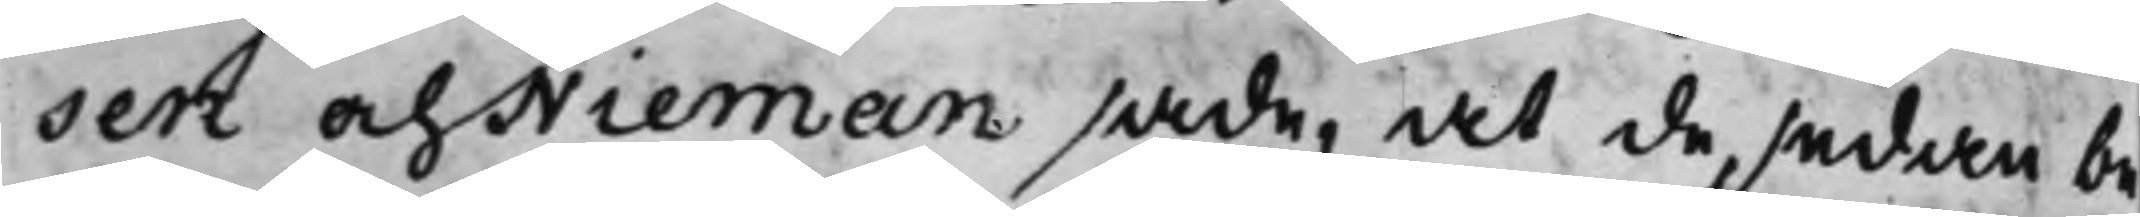sen och Nieman sade, at de, sedan be¬
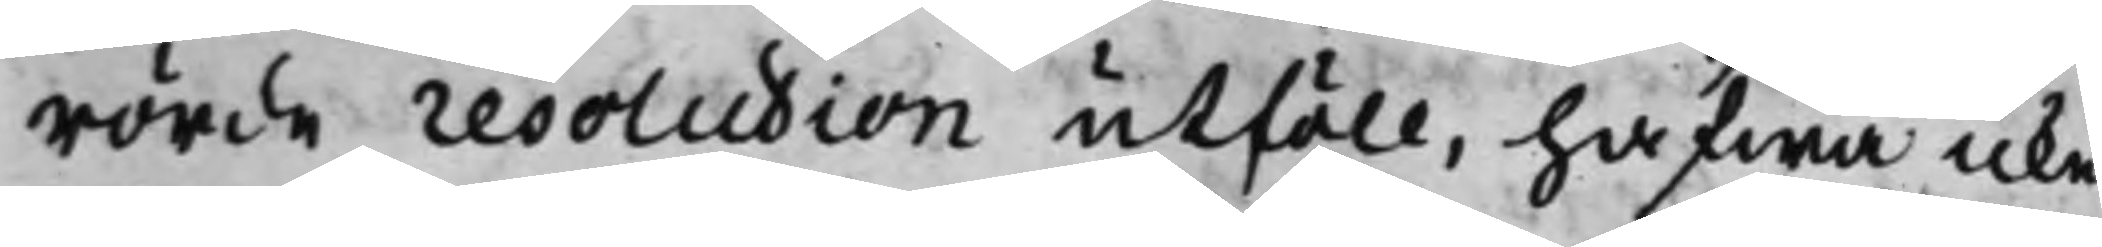rörde resolution utföll, hafwa icke
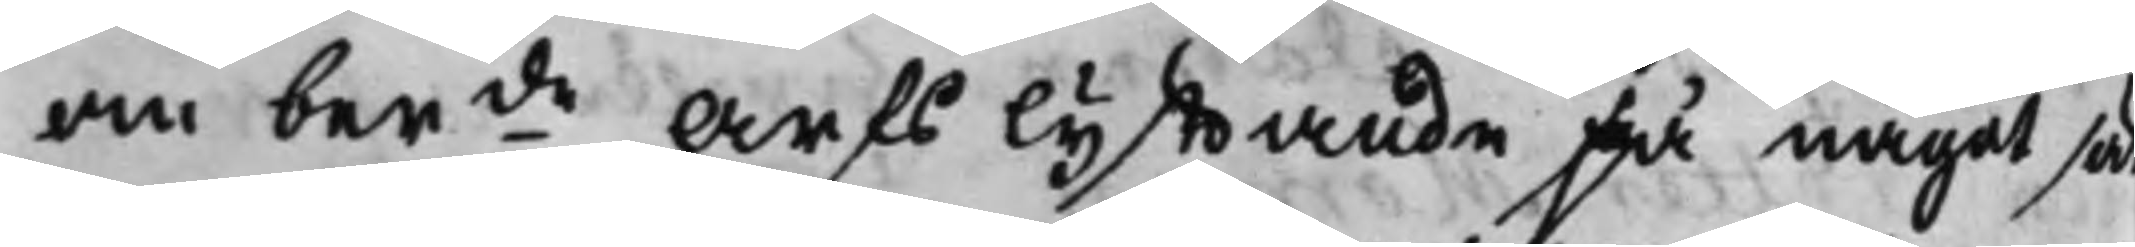om berde Arfs lyfftande på något sät
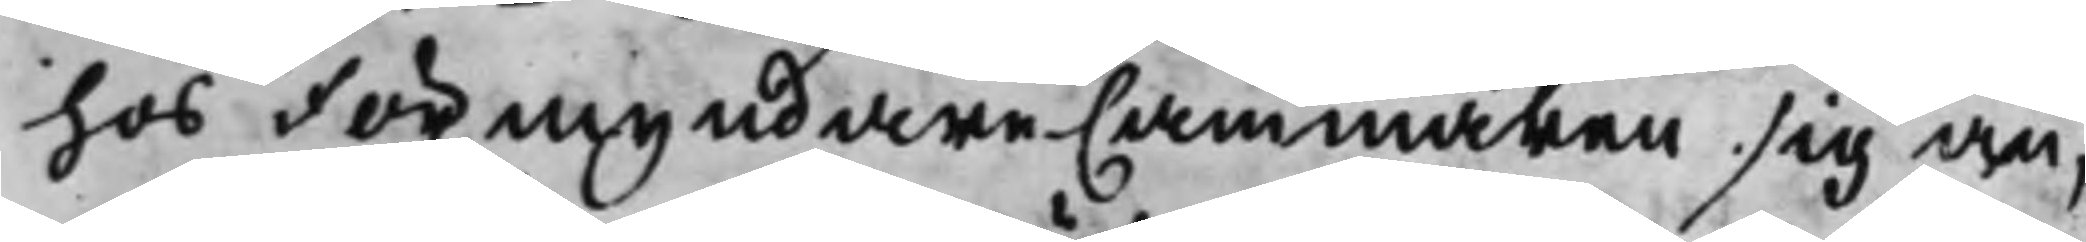hos FörmyndareCammaren sig an¬
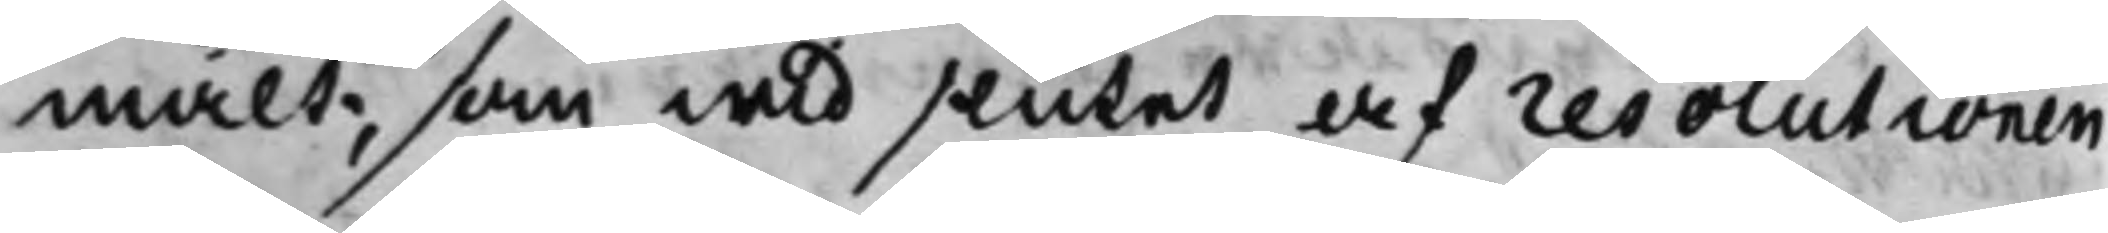mält, som wid siutet af resolutionen
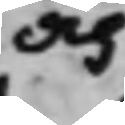och
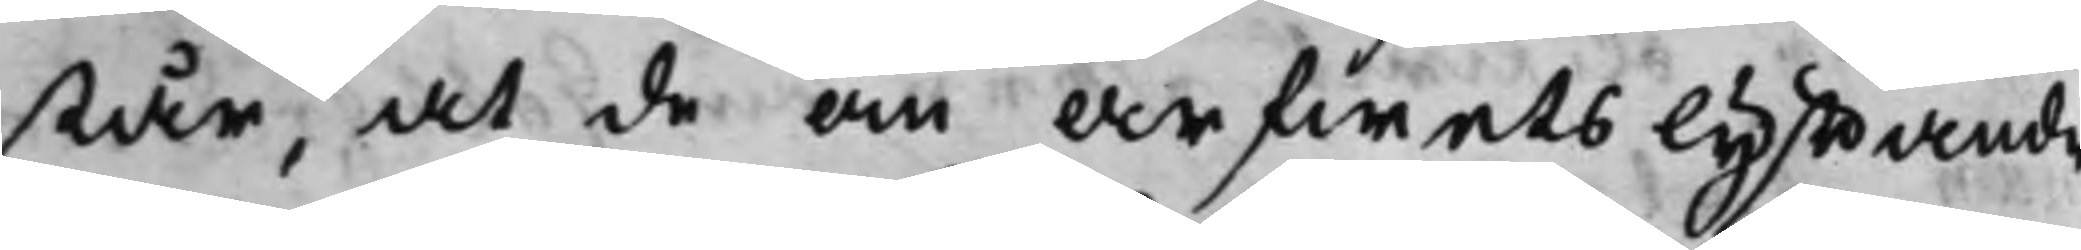står, at de on arfwets lyfftande
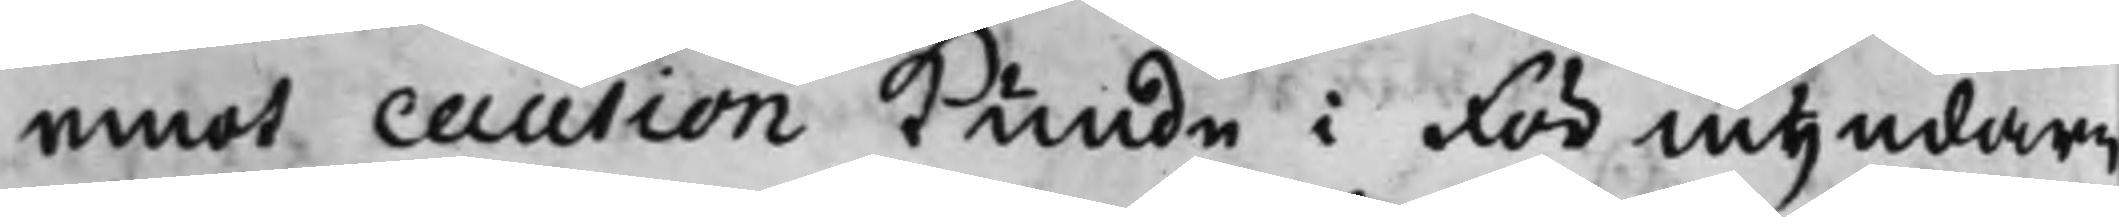emot caution kunde i förmyndare
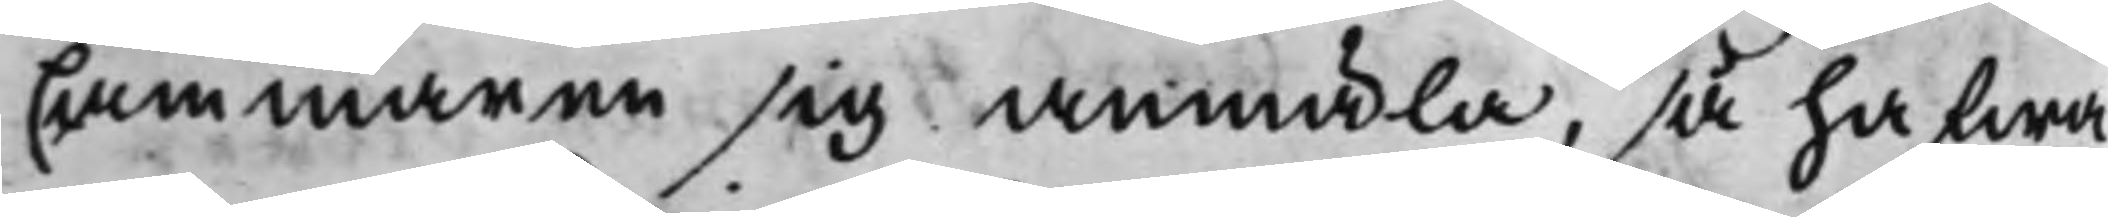Cammaren sig anmäla, så hafwa
